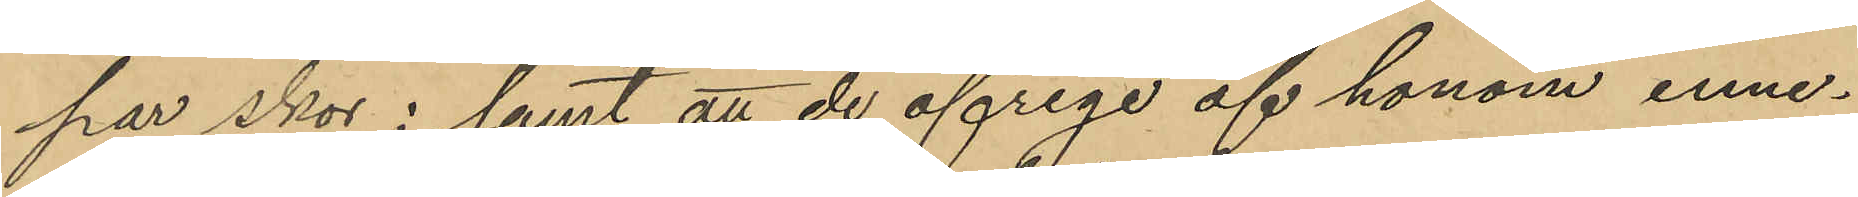par skor; samt att de öfrige af honom inne¬
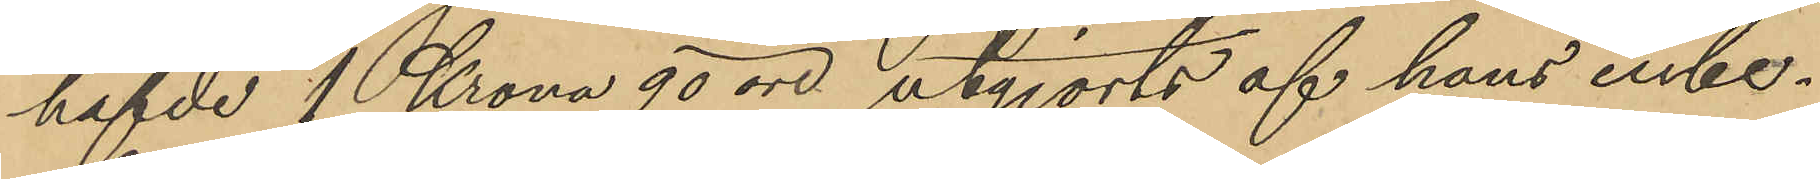hafde 1 Krona 90 öre utgjorts af honom inbe¬
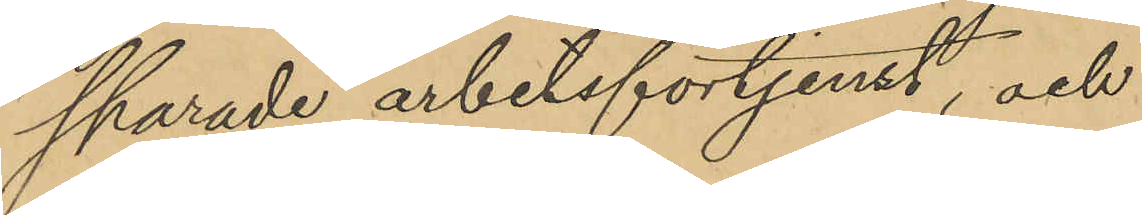sparade arbetsförtjenst, och
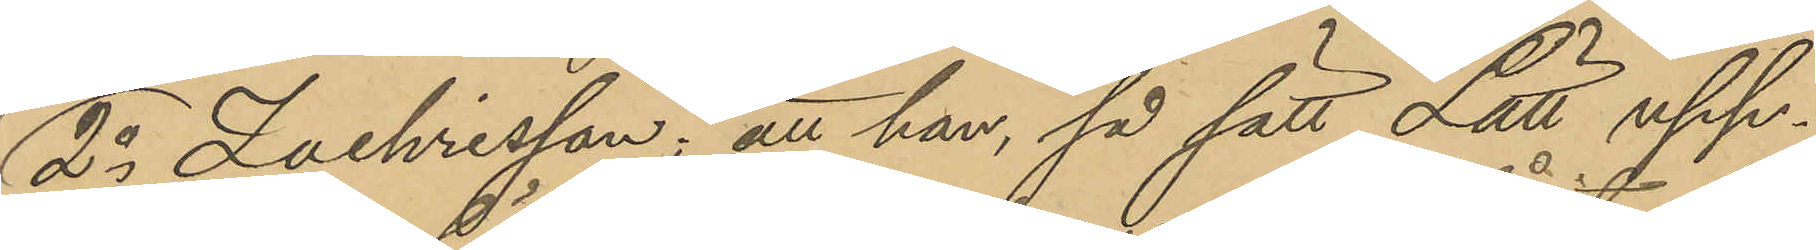2o Zachrisson; att han, så sätt Lätt upp¬
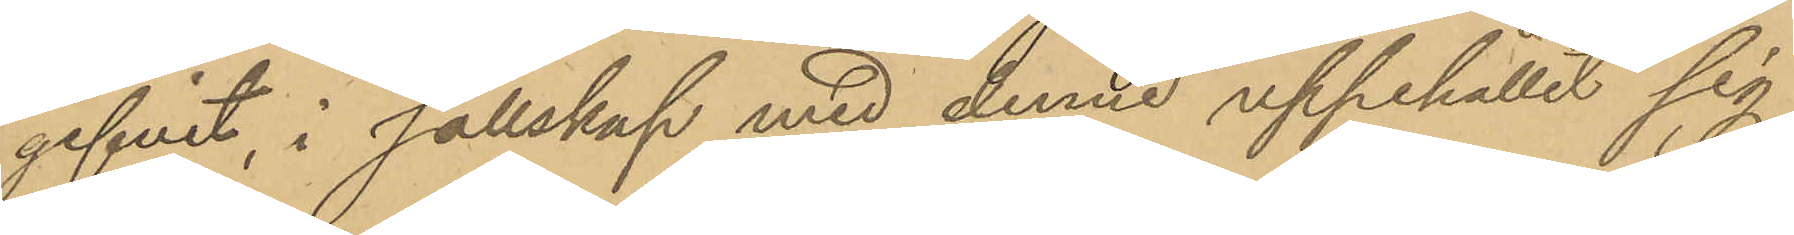gifvit, i sällskap med denne uppehållit sig
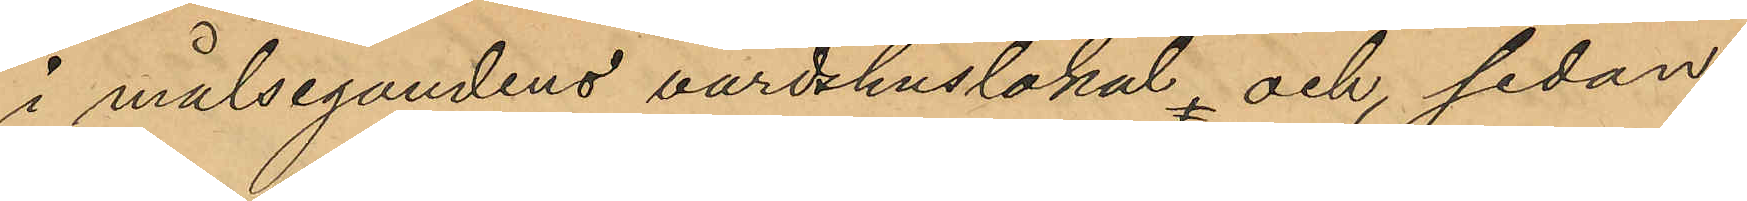i målsegandens värdshuslokal och, sedan
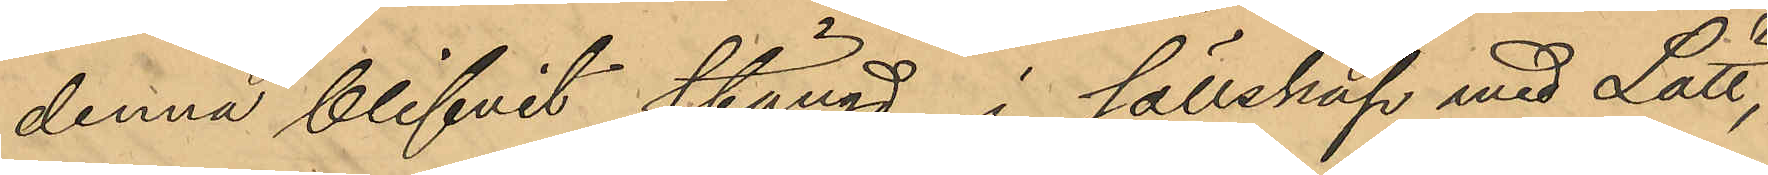denna blifvit stängd, i sällskap med Lätt,
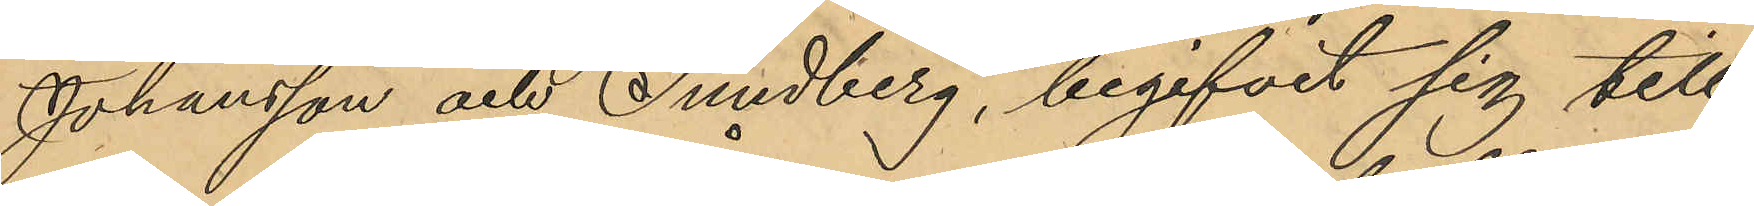Johansson och Sundberg, begifvit sig till
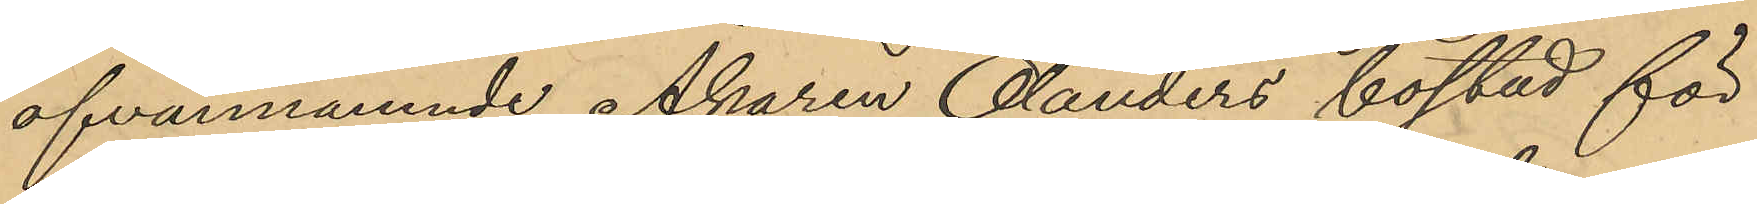ofvannämnde Åkaren Olanders bostad för
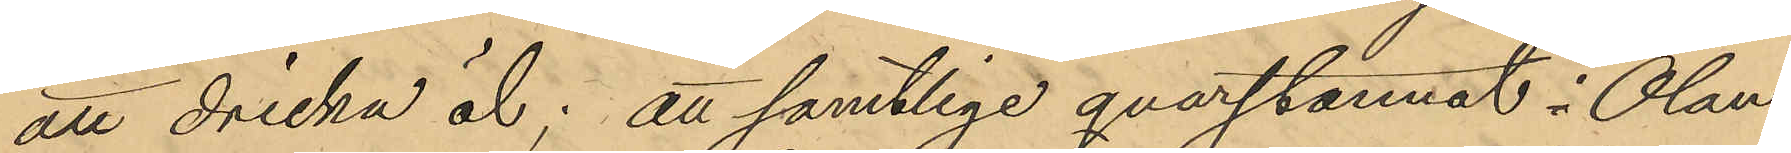att dricka öl; att samtlige qvarstannat i Olan¬
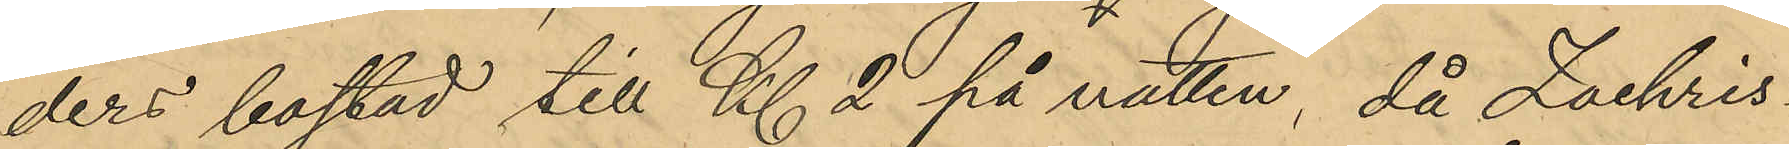ders bostad till Kl. 2 på natten, då Zachris¬
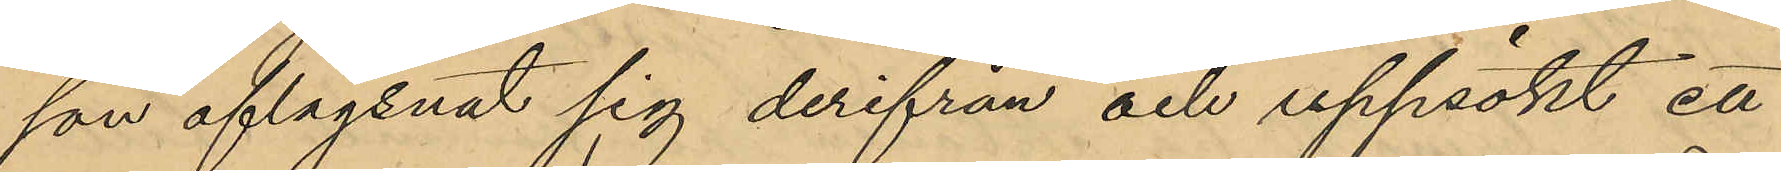son aflägsnat sig derifrån och uppsökt en
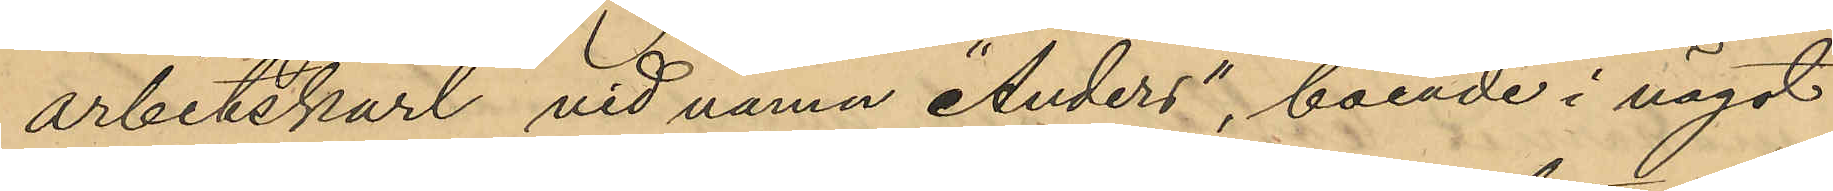arbetskarl vid namn "Anders", boende i något
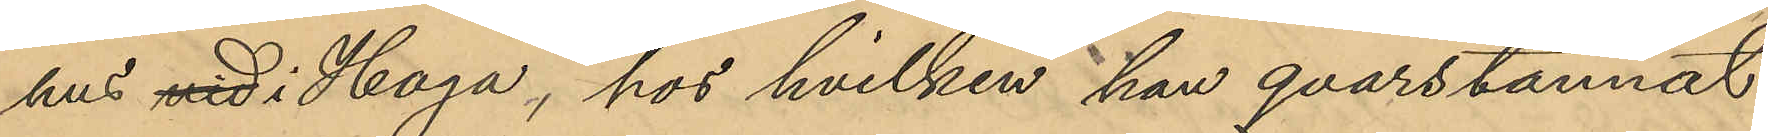hus vid i Haga, hos hvilken han qvarstannat
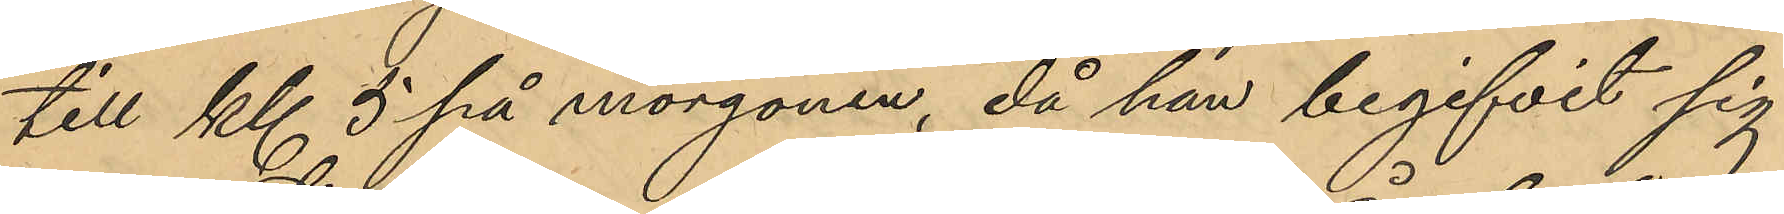till Kl. 5 på morgonen, då han begifvit sig
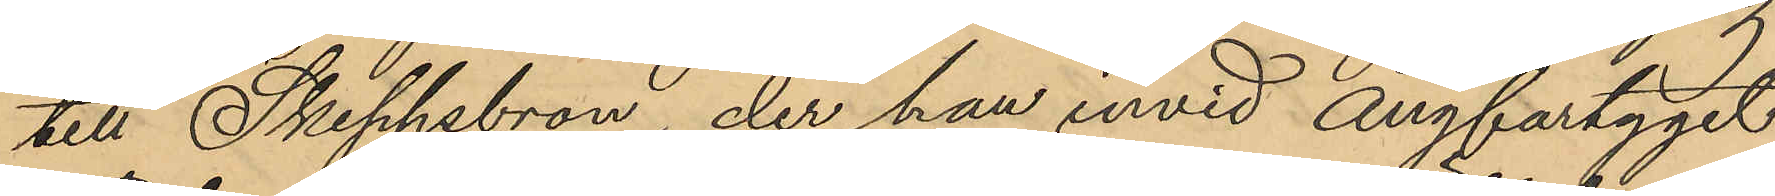till Skeppsbron, der han invid ångfartyget
